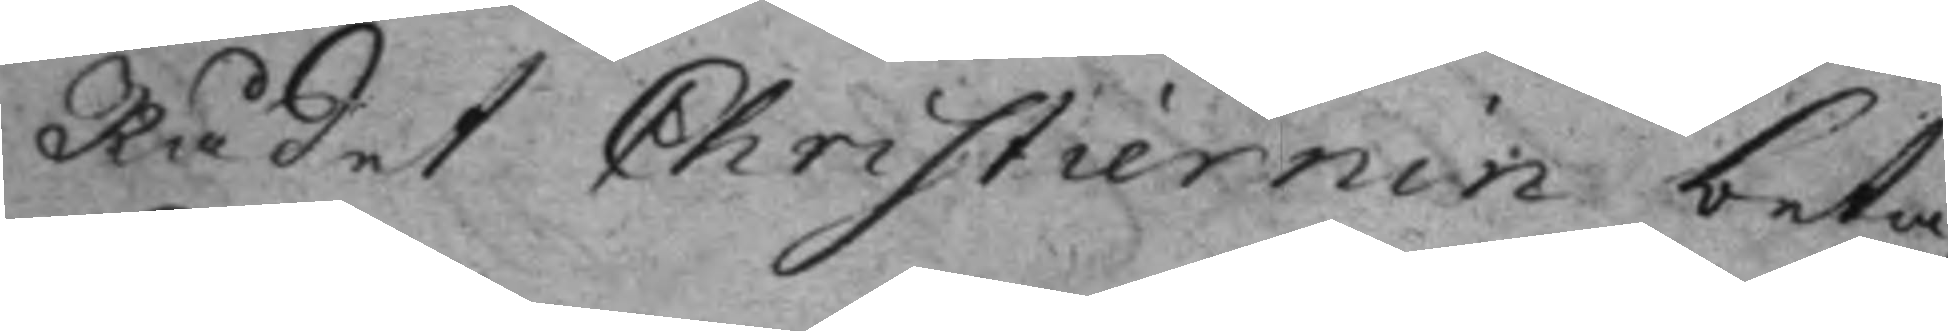Rådet Christiernin beta¬
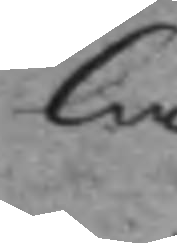la.
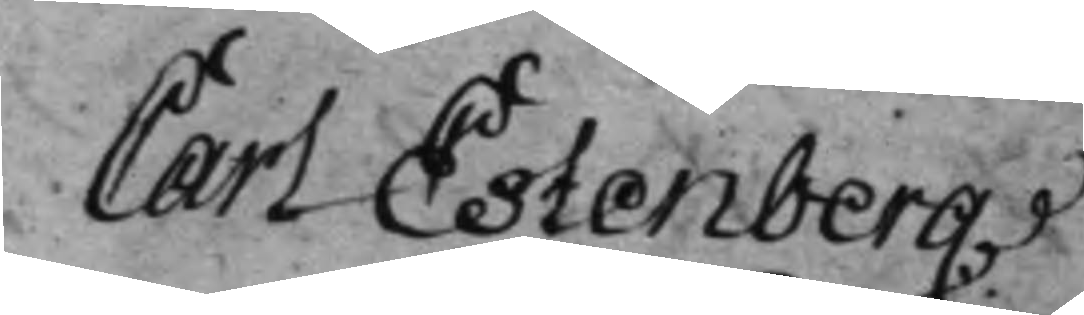Carl Estenberg
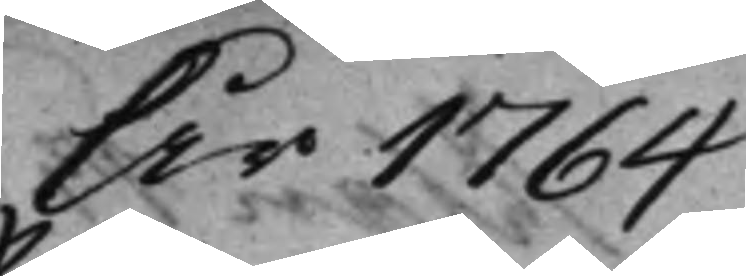År 1764
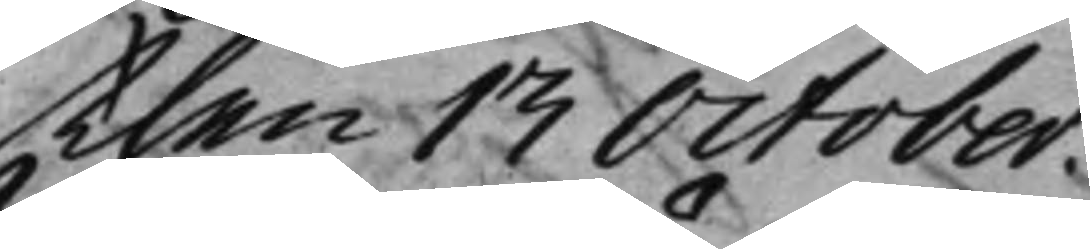then 13 October.
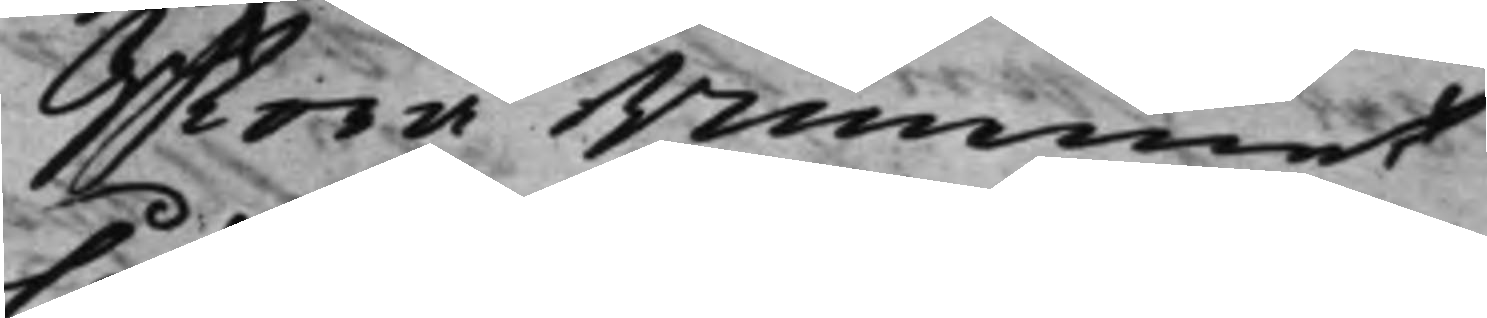Stora Rummet
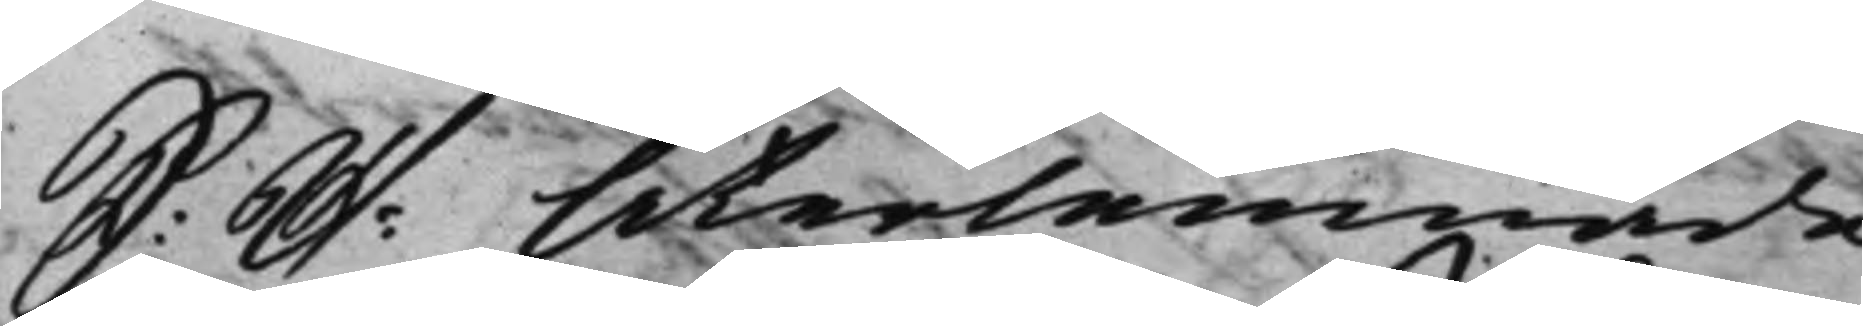S: D: Återlemnade
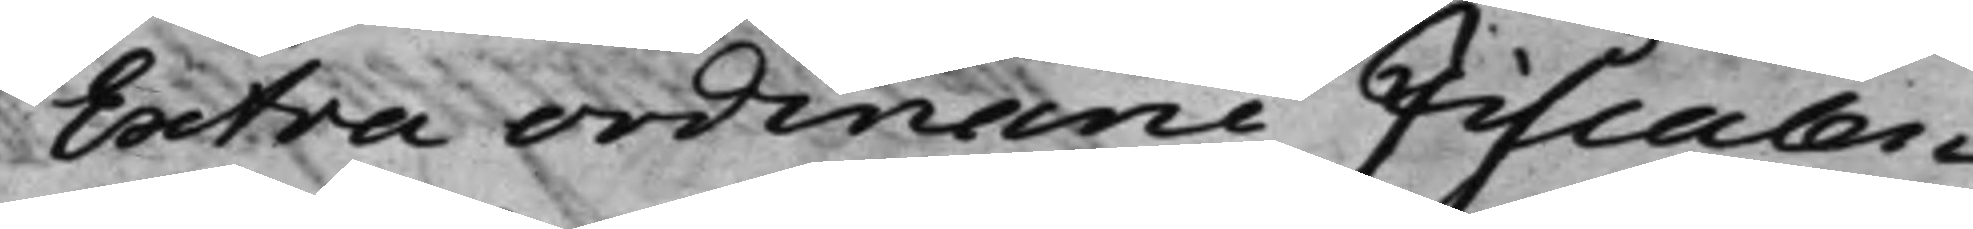Extra ordinarie Fiscalen
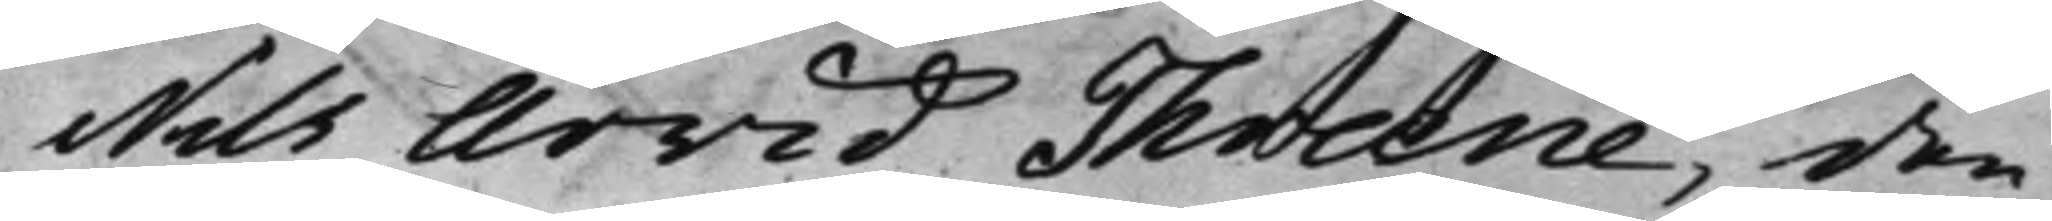Nils Arvid Thræne, den
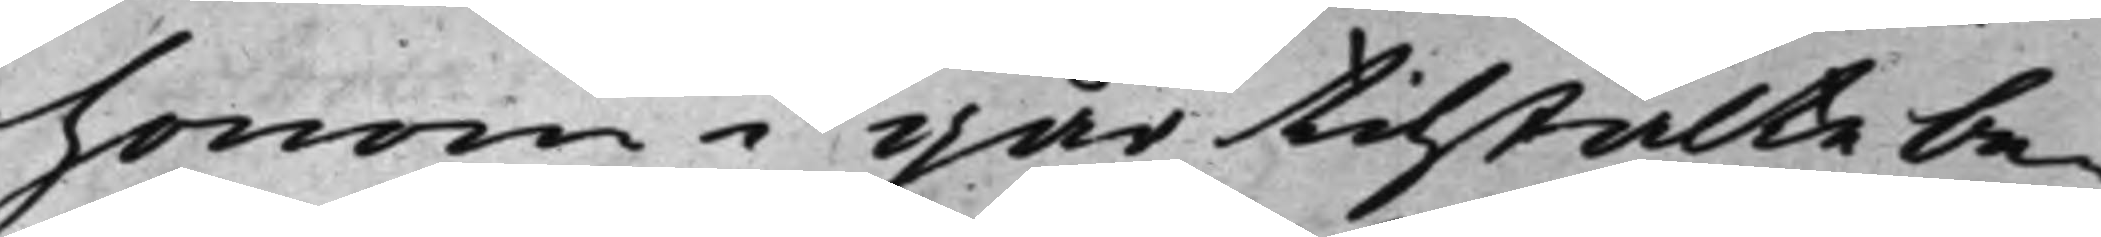honom i går tilstälte be¬
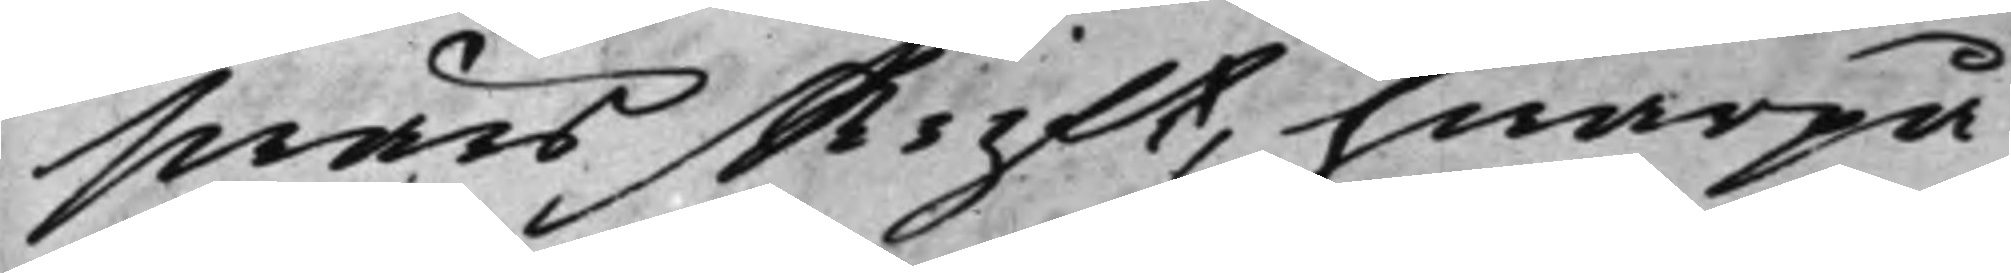swärsskrift, hwarpå
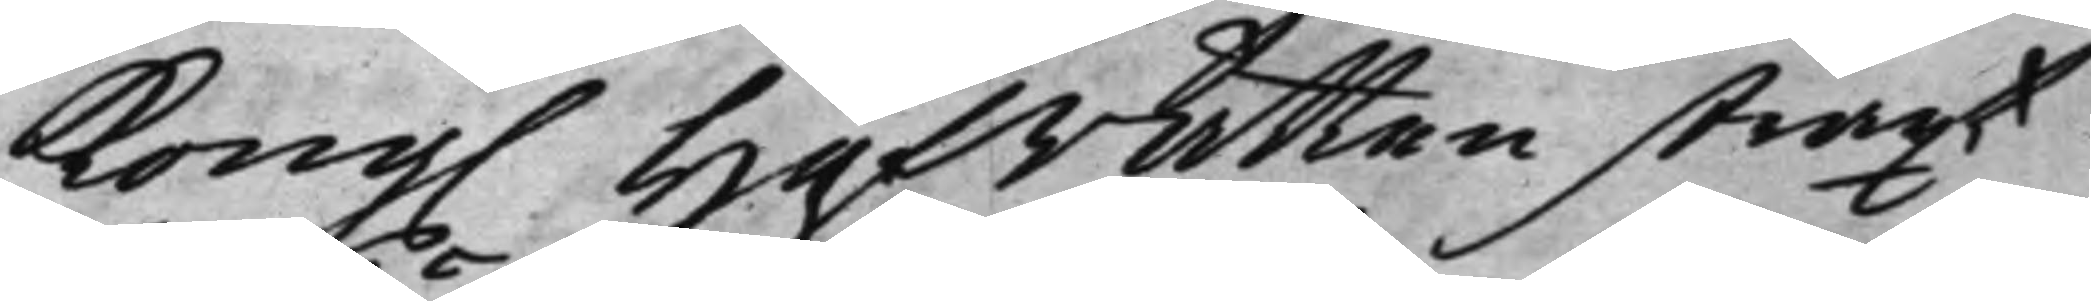Kong. HofRätten straxt
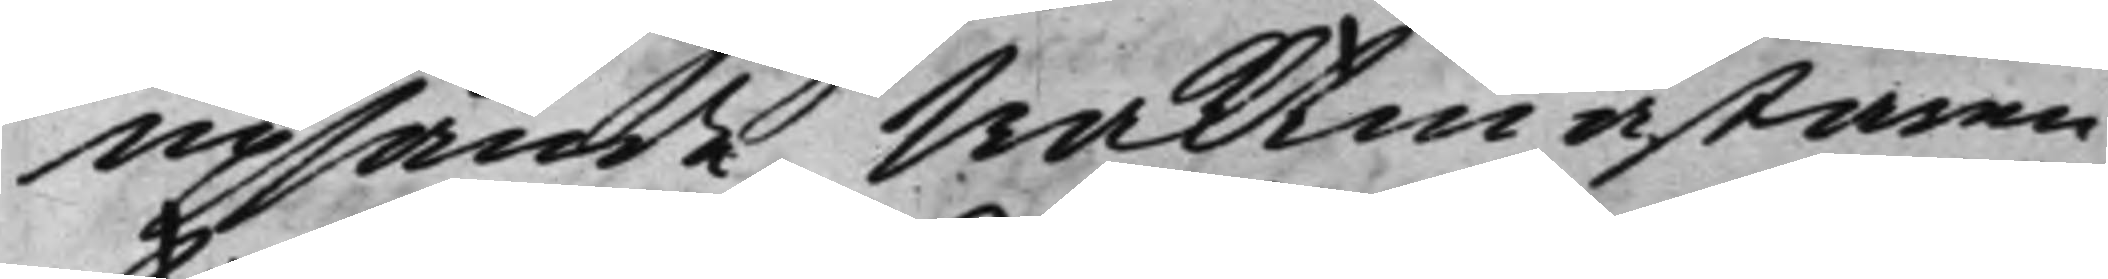upsände Waktmästaren
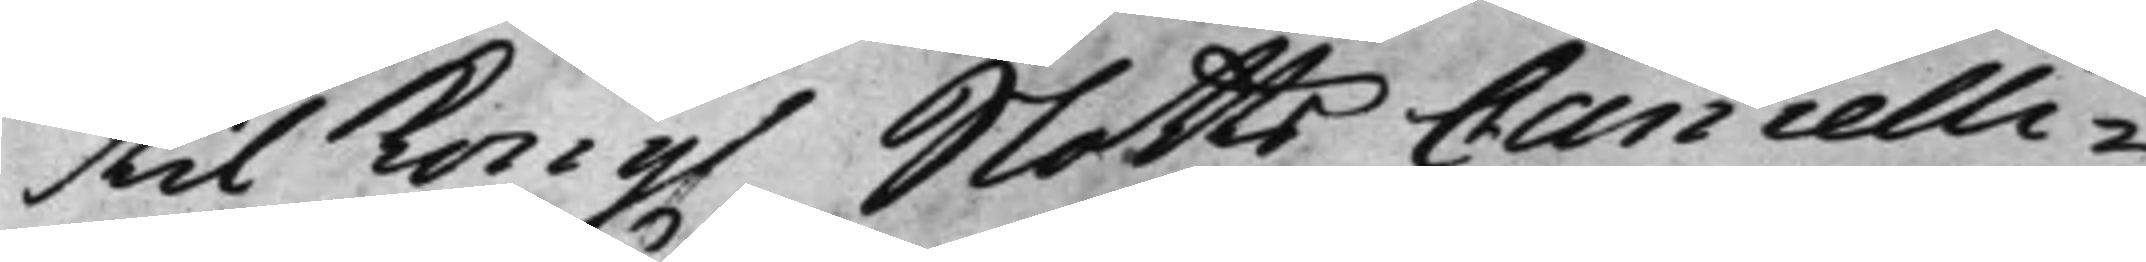til Kong. SlottsCancelli¬
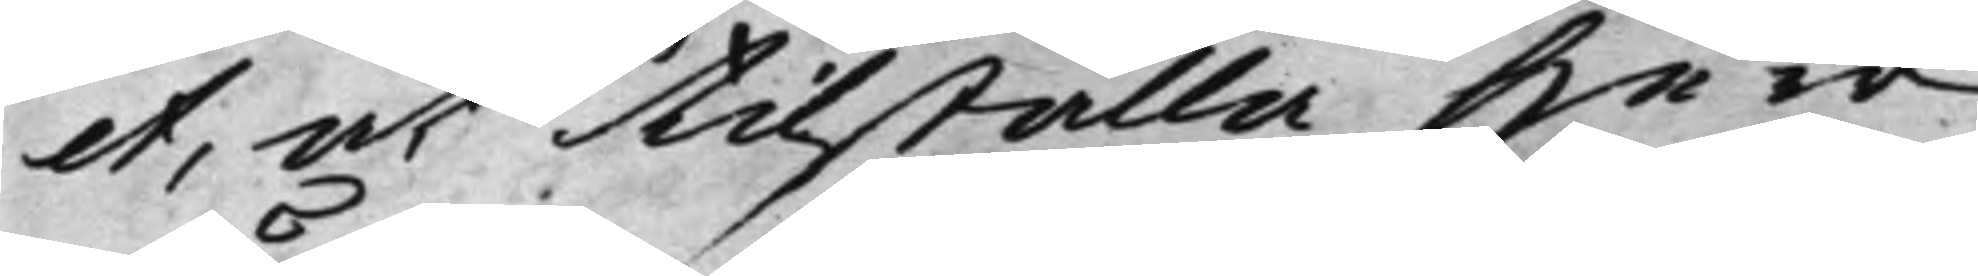et, at tilställa Herr
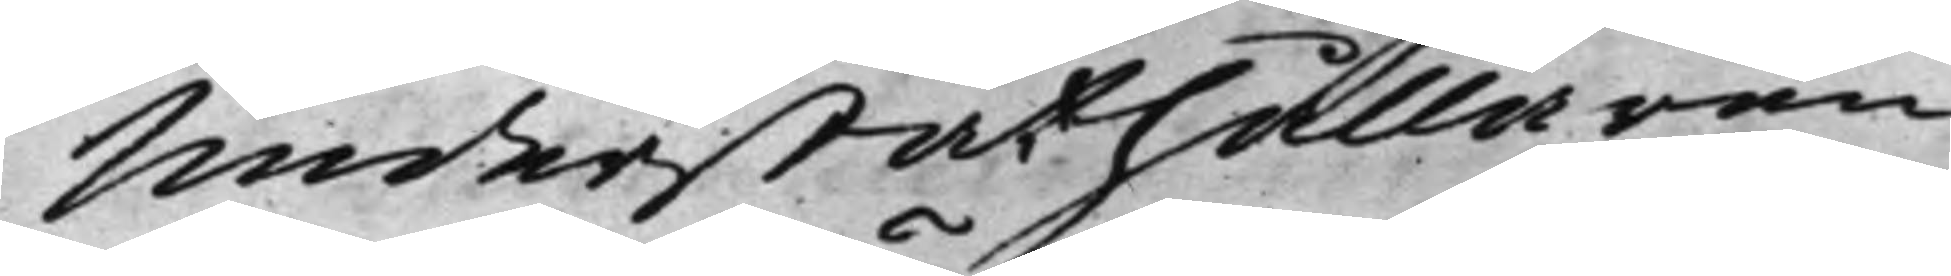Underståthållaren
